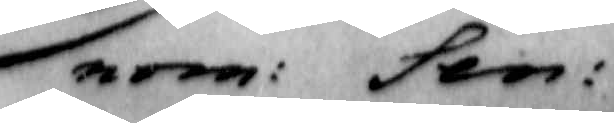nom: Sen:
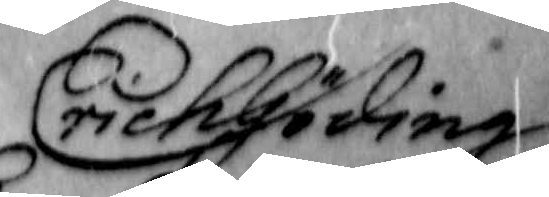Erich Göding
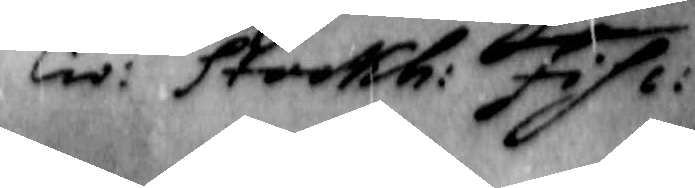Civ: Stockh: Fisc:
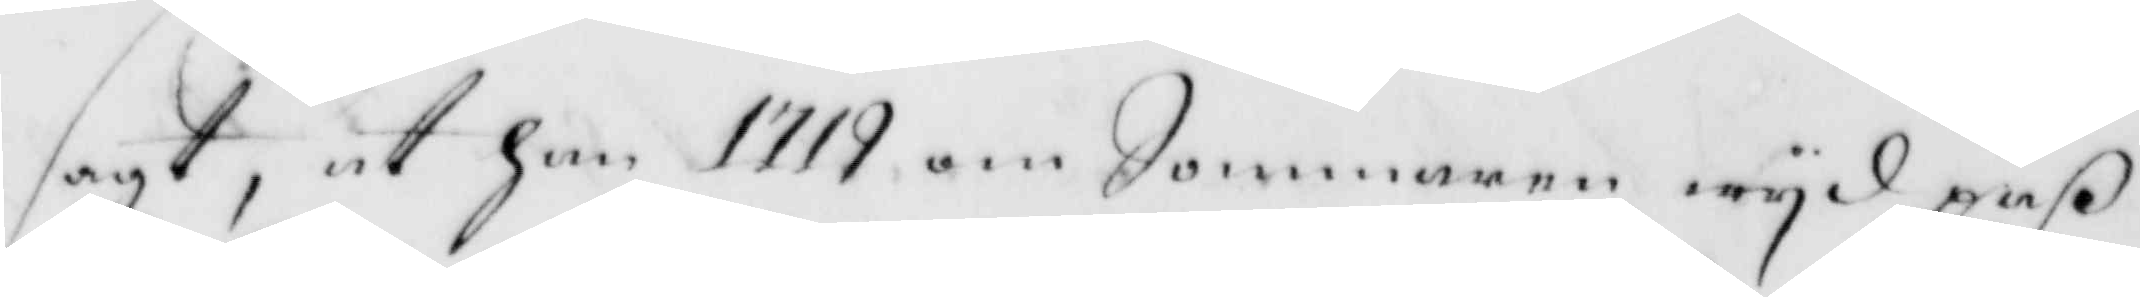sagt, at han 1719 om Sommaren wyd paß
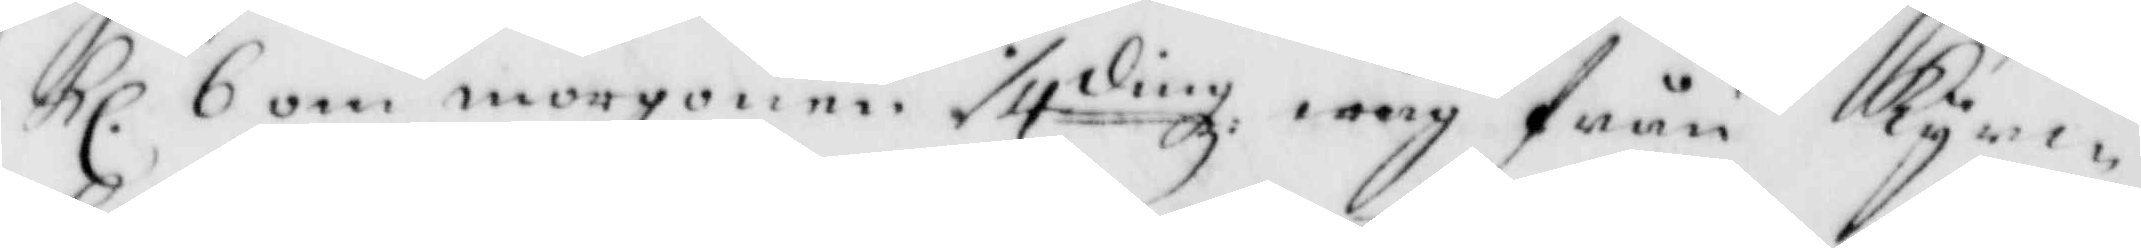kl. 6 om morgonen :/4dingz wäg från Kyrc¬
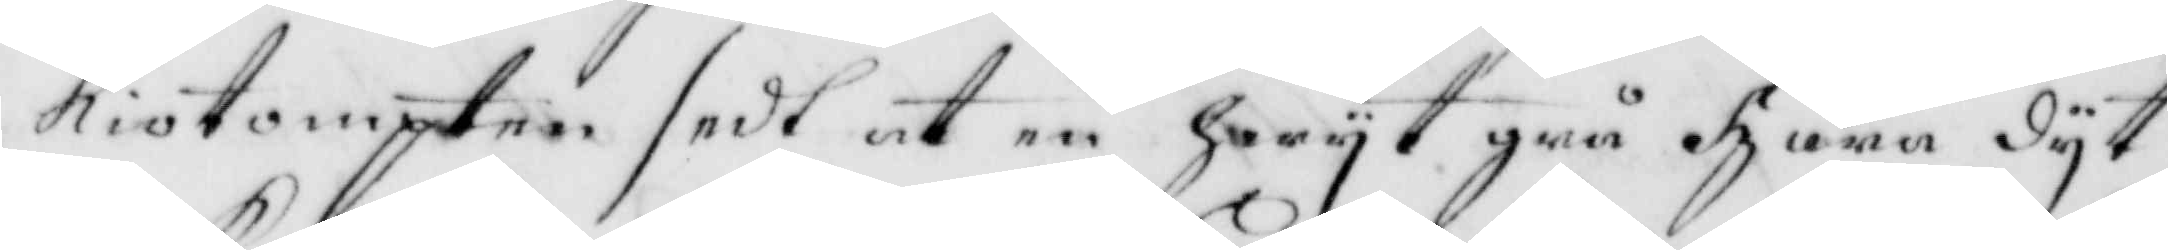kiotompten sedt at en Hwyt grå hara dyt
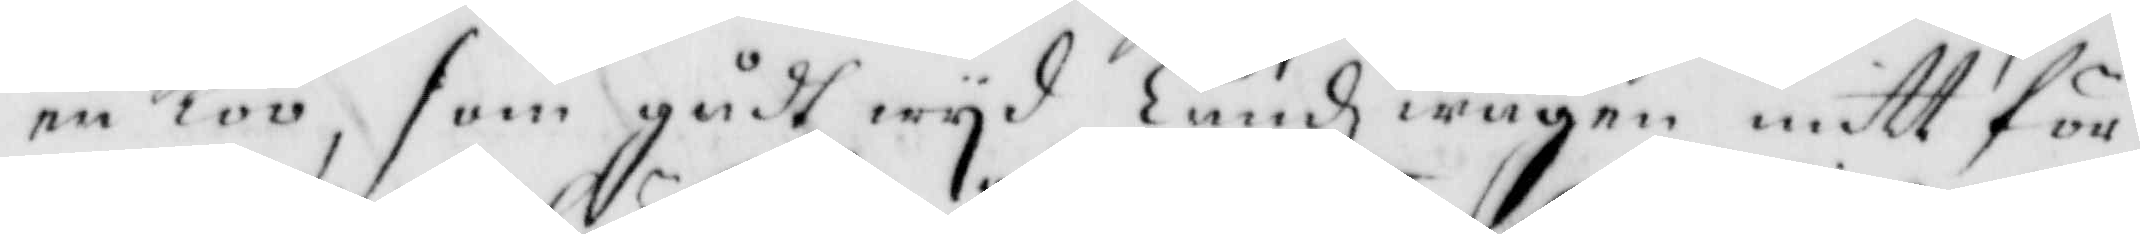en Koo, som gådt wyd Landzwägen mitt för
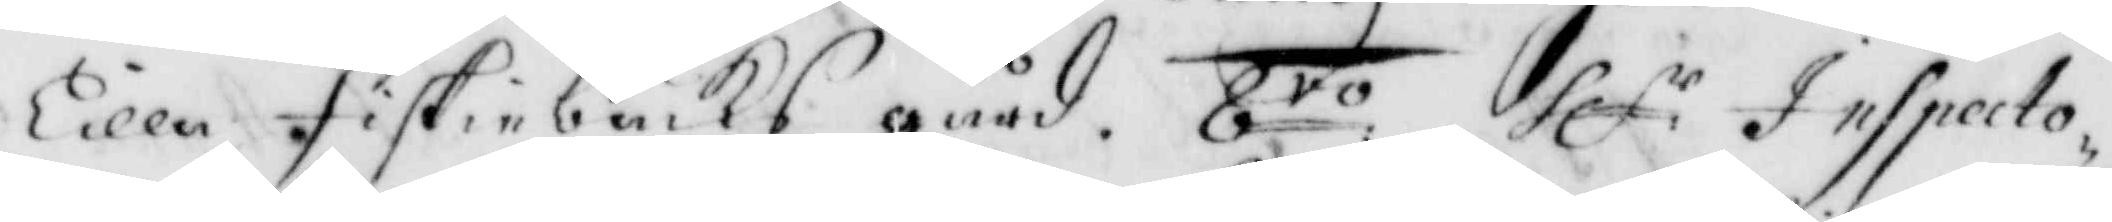Lilla Fiskiebäcks gård. 8to: hl:r Inspecto¬
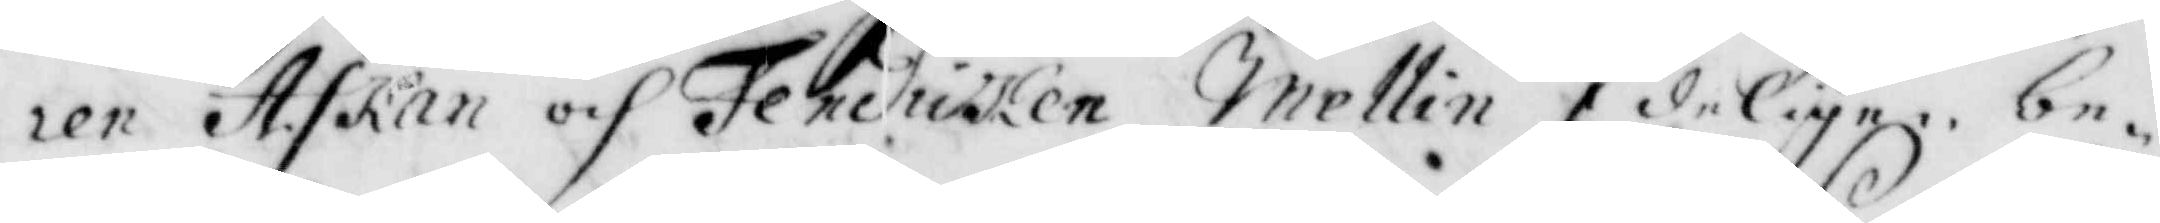ren Askan och Fendricken Mellin Edeligen be¬
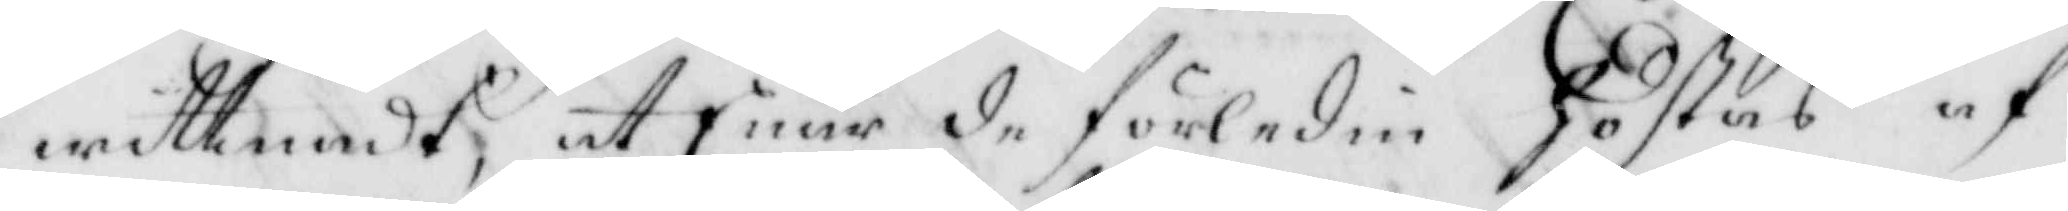wittnadt, att Enär de förledin höstas af
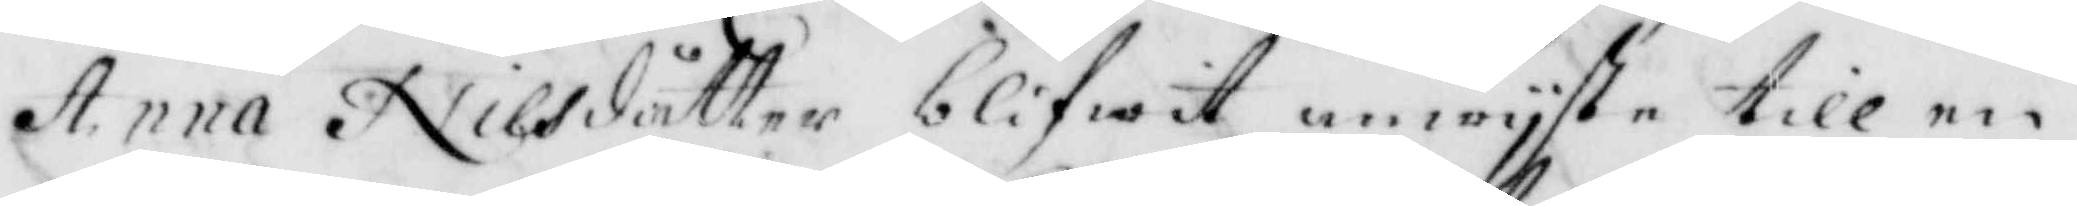Anna Nilsdåtter blifwit anwyste till en
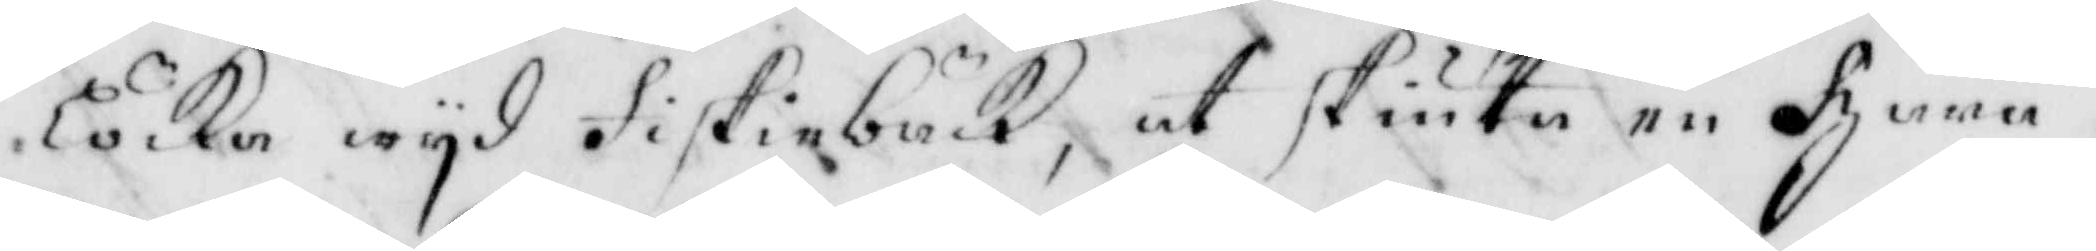Löcka wyd Fiskiebäck, at skiuta en hara,
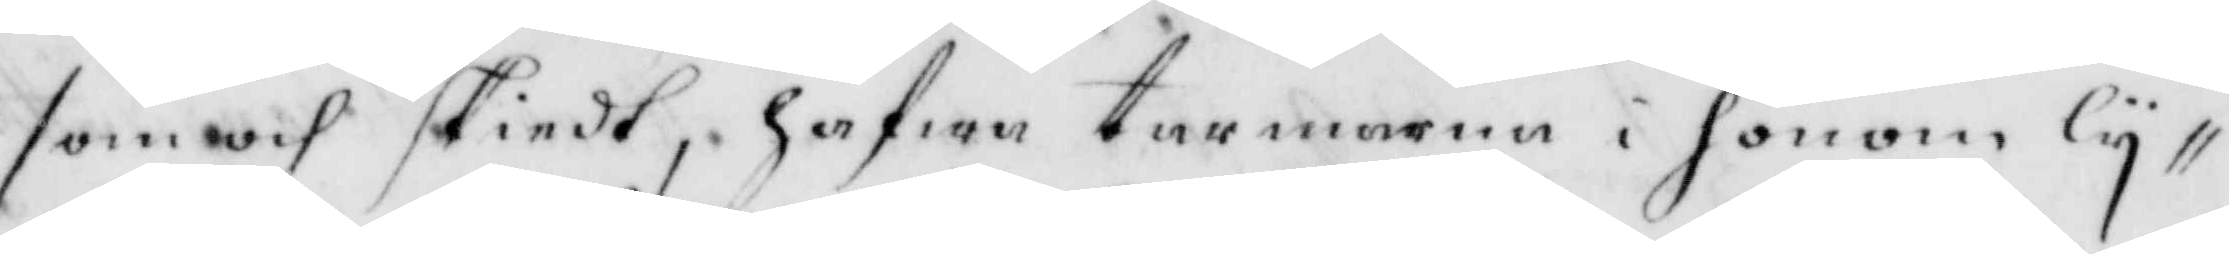som wih skiedt, hafwa tarmarna i honom ly¬
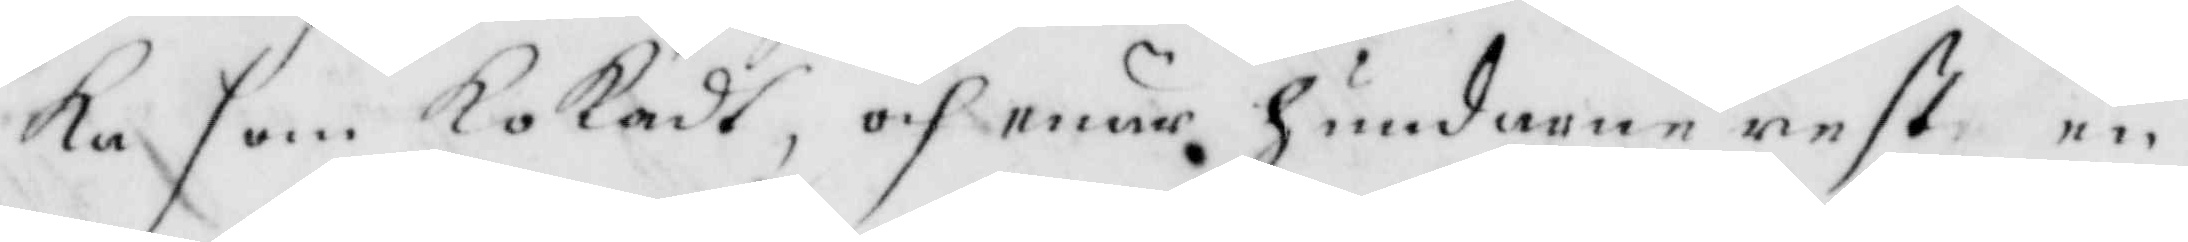ka som kokadt, och enär hundarne rest en
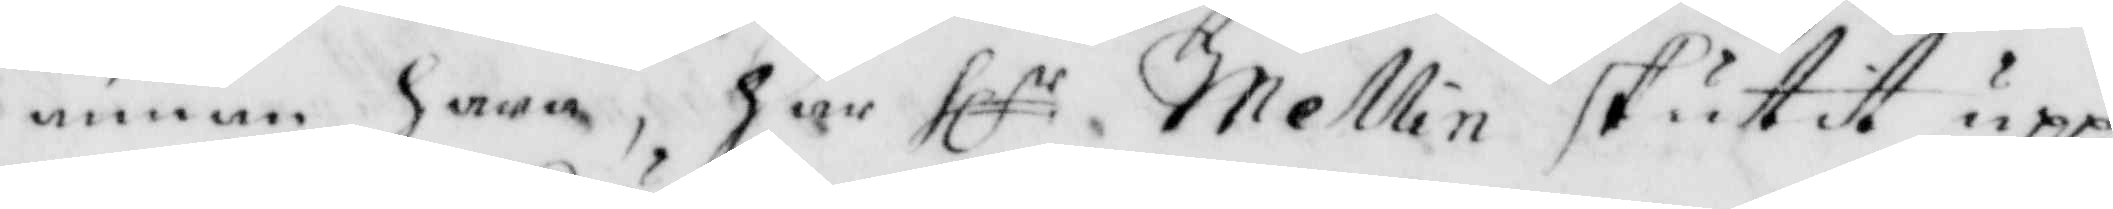annan hara, har hl:r Mellin skutit upp
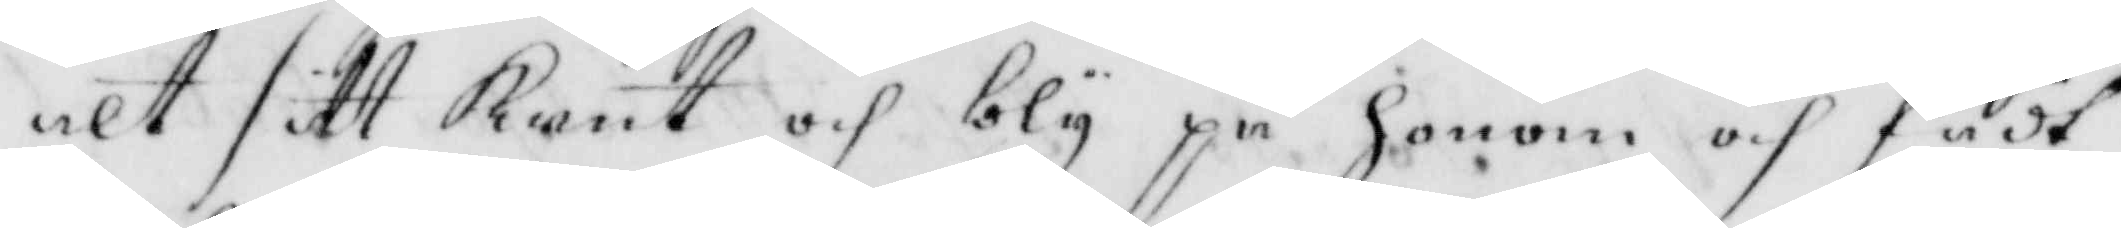alt sitt krut och bly på honom och fådt
